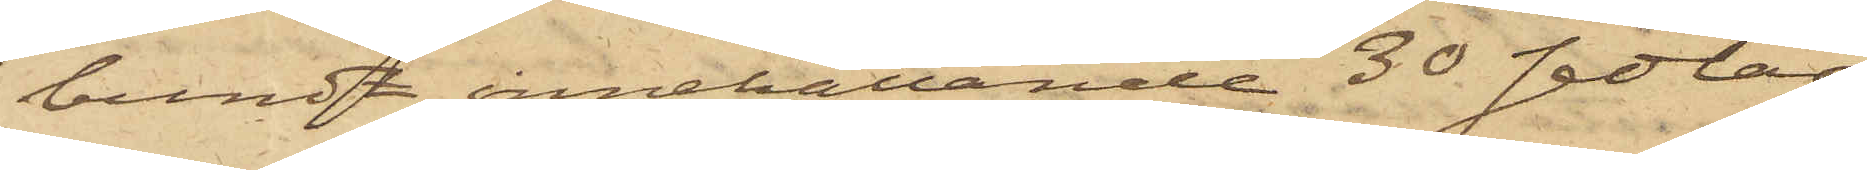bundt innehållande 30 sedlar
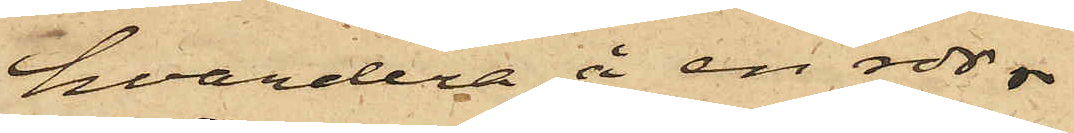hvardera å en rdr.
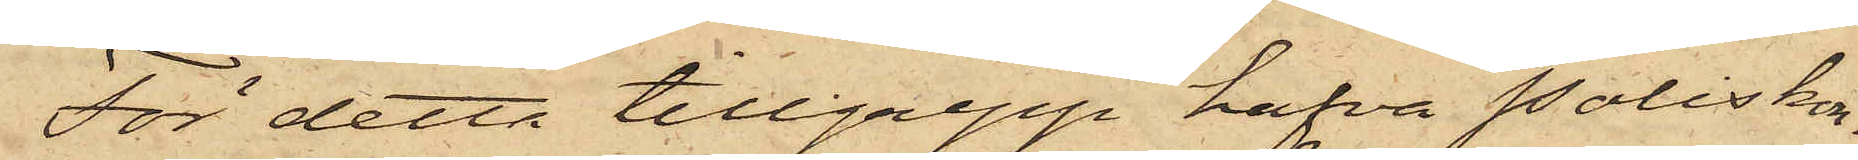För detta tillgrepp hafva Poliskon¬
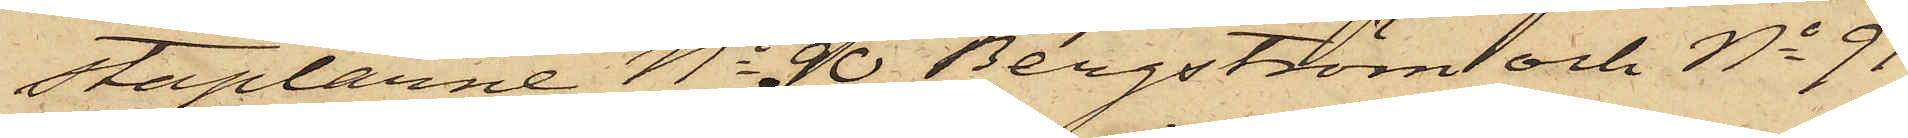staplarne No 90 Bergström och No 91
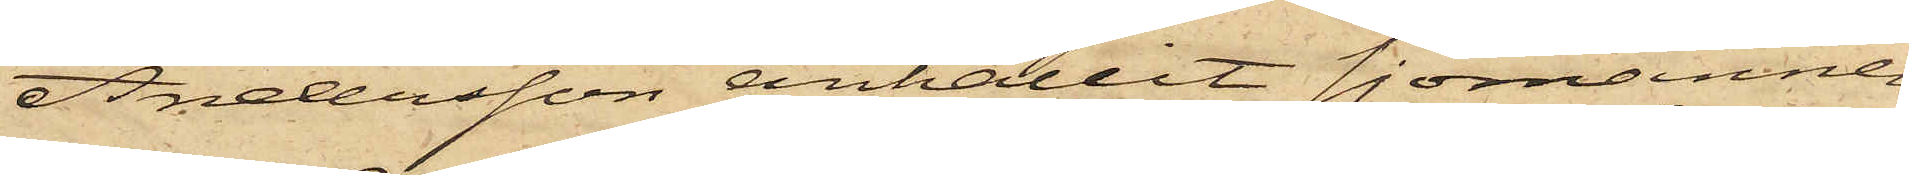Andersson anhållit sjömannen
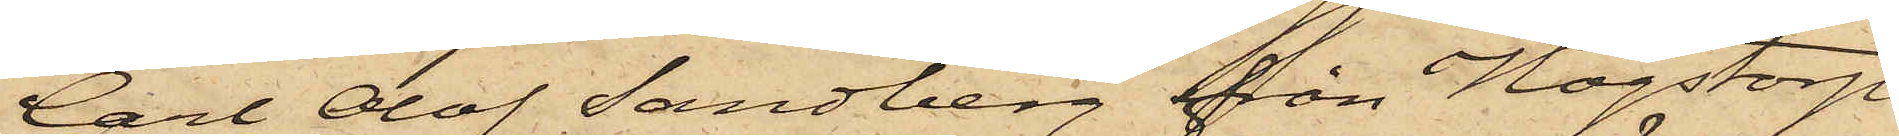Carl Olof Sandberg från Högstorp
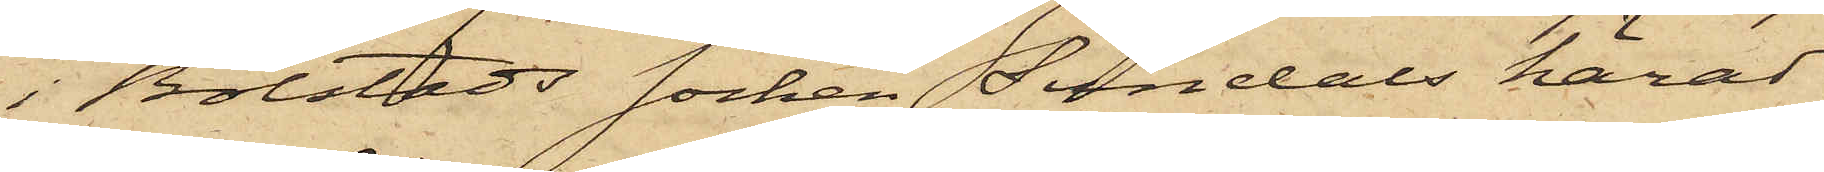i Bolstads socken Sundals härad
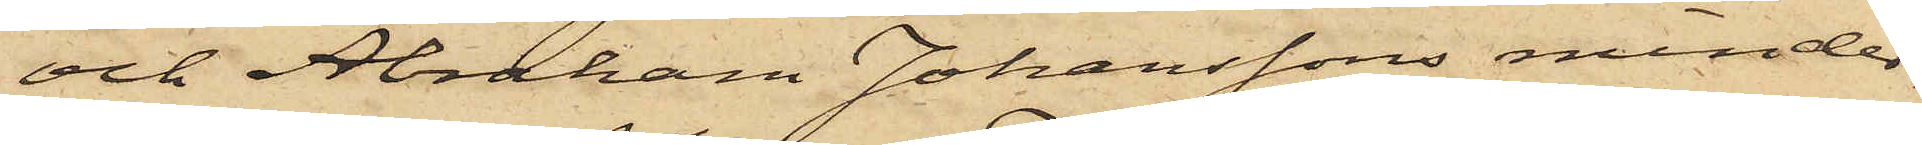och Abraham Johanssons minder¬
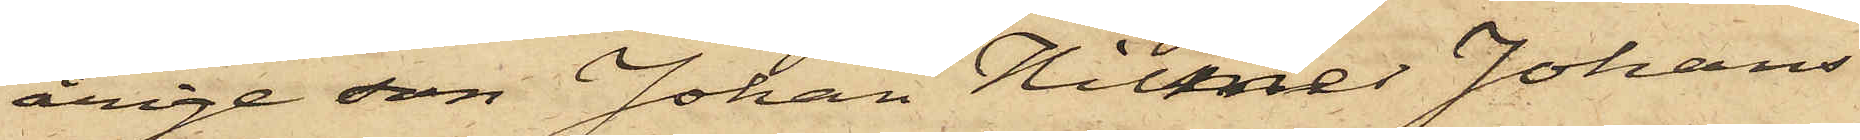årige son Johan Hilmer Johans¬
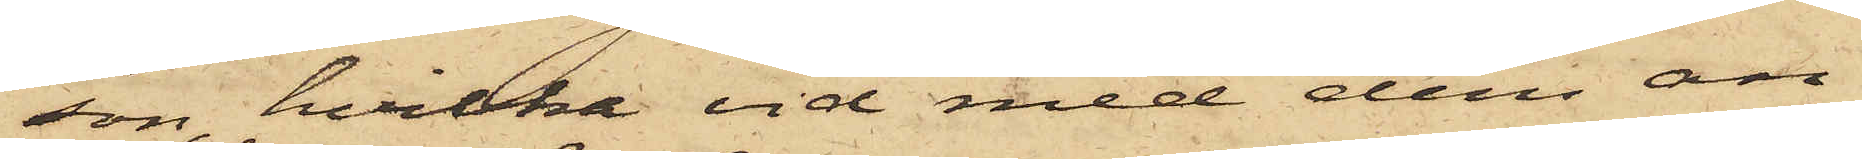son, hvilka vid med dem an¬
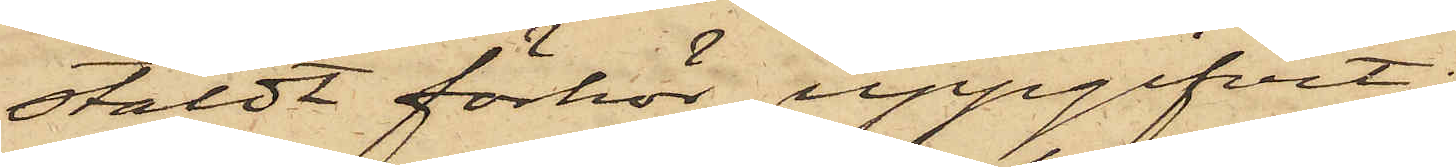stäldt förhör uppgifvit:
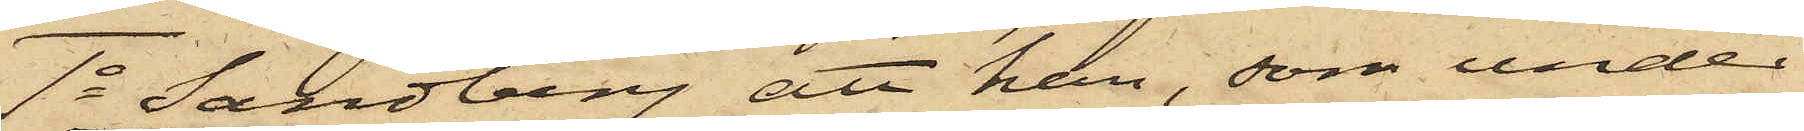1o Sandberg att han, som under
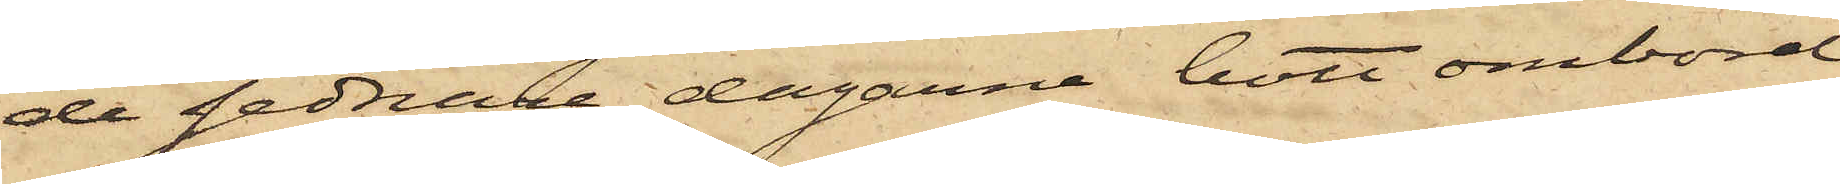de sednare dagarne bott ombord
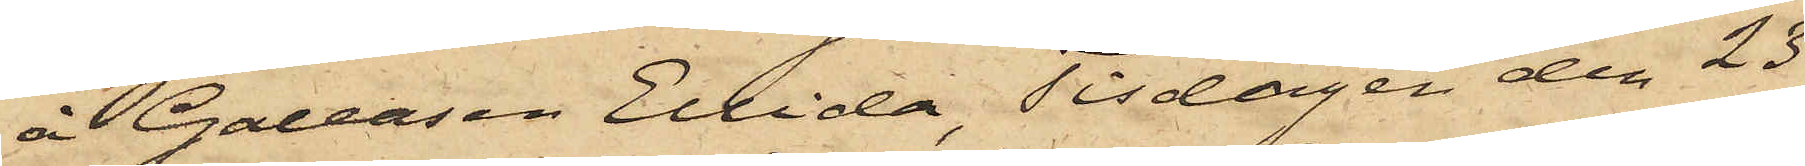å Galeasen Ellida, Tisdagen den 23
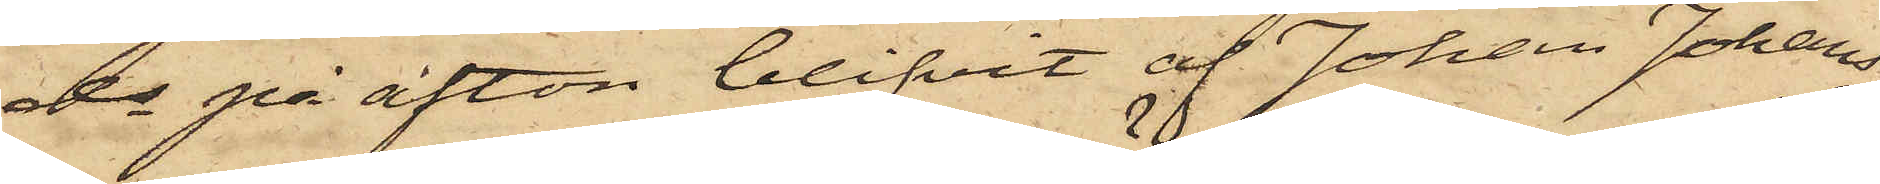ds på afton blifvit af Johan Johans¬
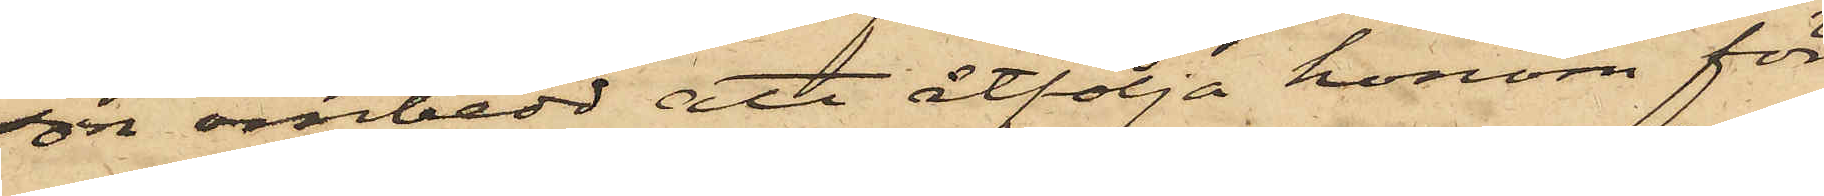son ombedd att åtfölja honom för
